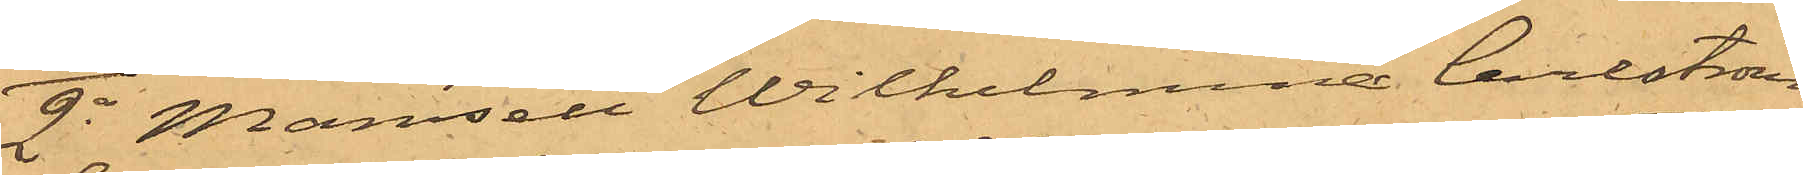2o Mamsell Wilhelmina Carlström
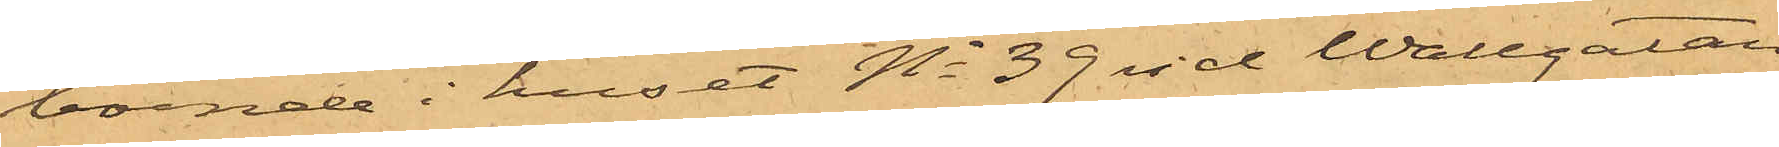boende i huset No 39 vid Wallgatan,
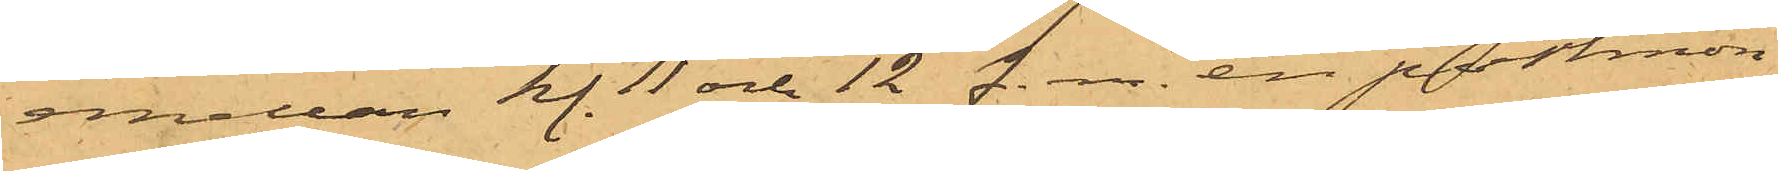emellan kl. 11 och 12 f. m. en portmon¬
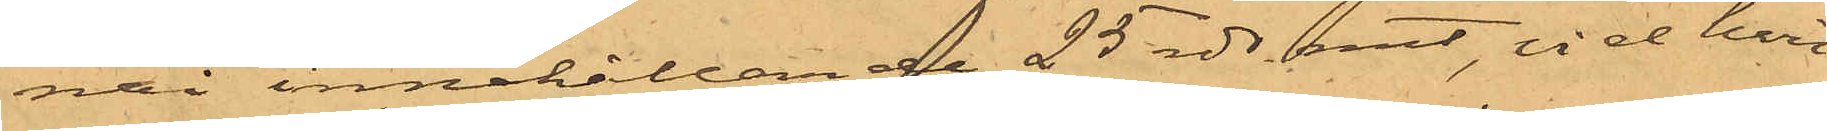nai innehållande 25 rdr rmt, vid hvil¬
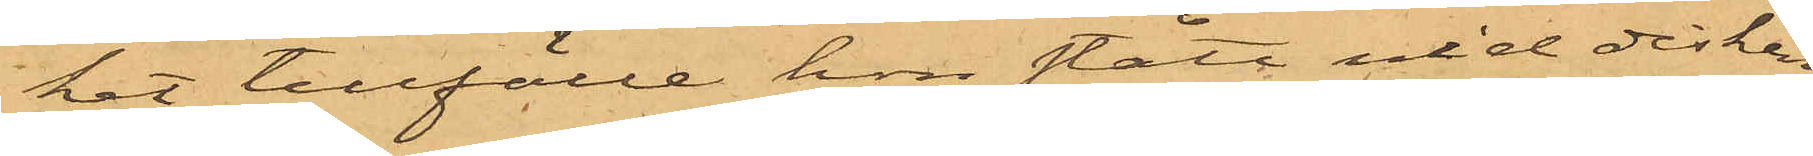het tillfälle hon stått vid disken
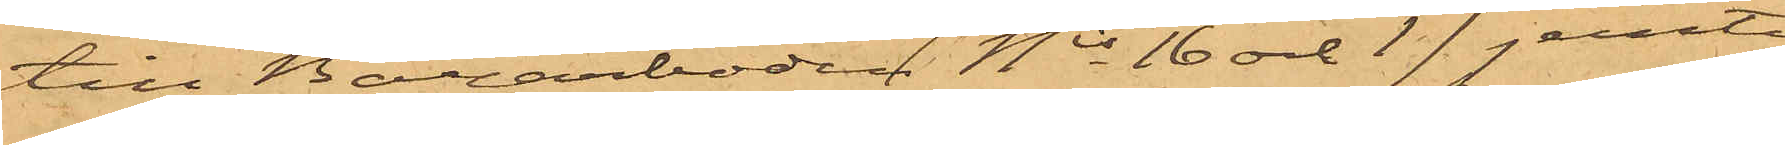till Bazarboden Nis 16 och 17 jemte
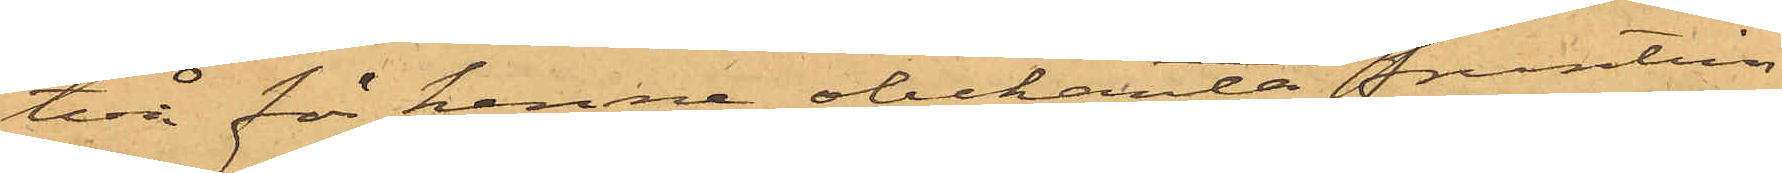två för henne obekanta fruntim¬
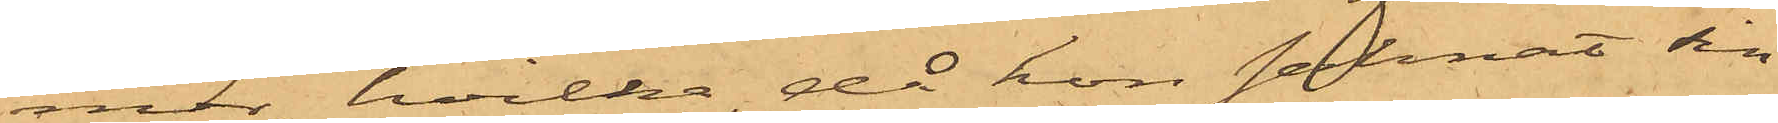mer, hvilka, då hon saknat sin
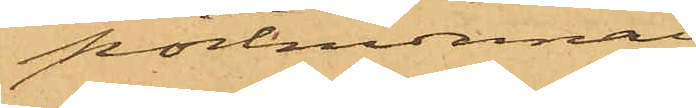portmonnai
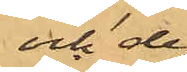och de
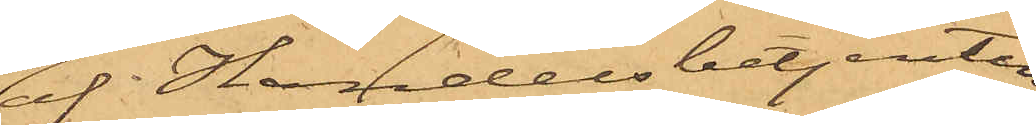af Handelsbetjenten
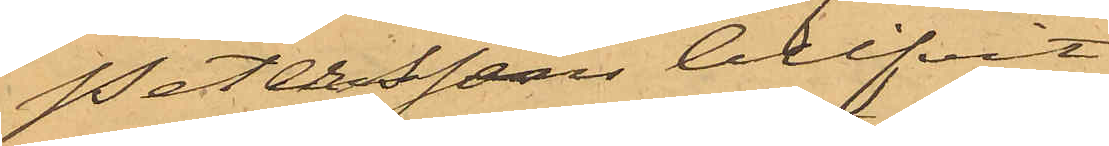Petersson blifvit
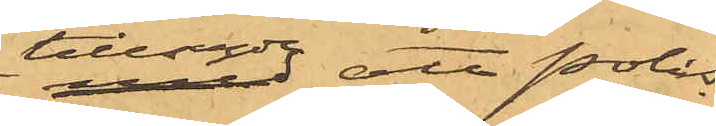tillsagde att polis
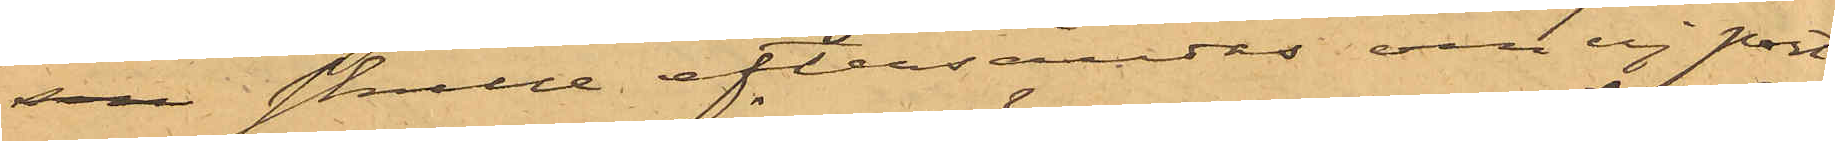sen skulle eftersändes om ej port¬
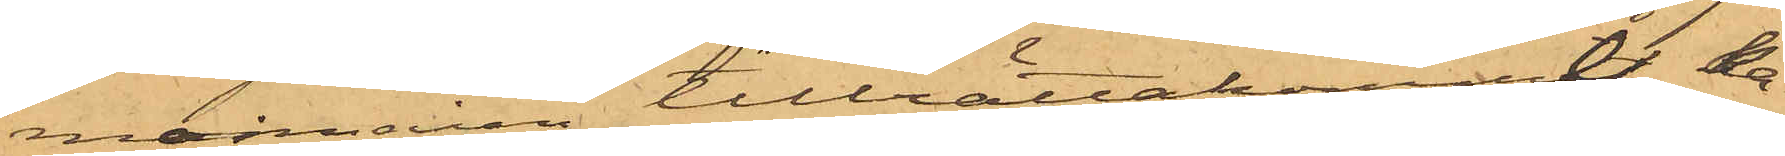monnaien tillrättakommit, ka¬
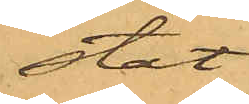stat
